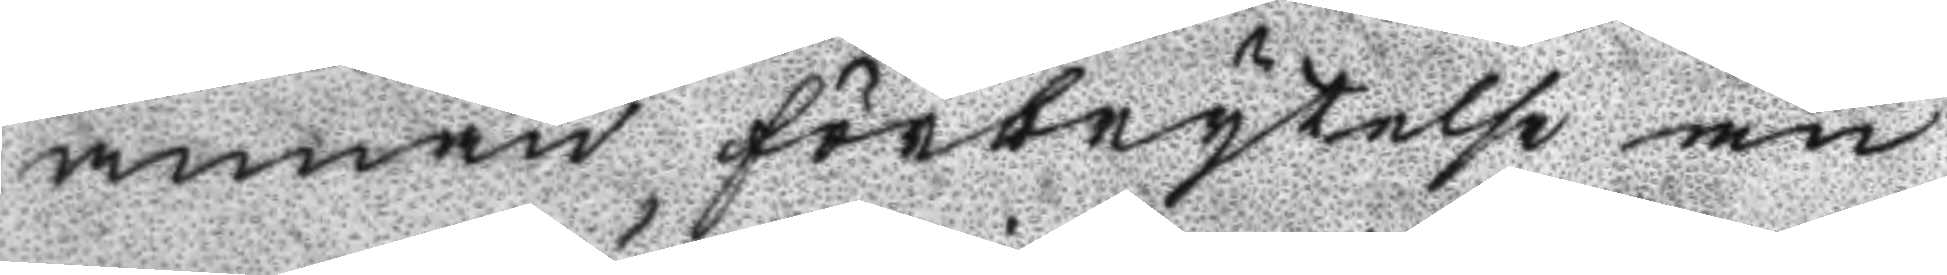annan förbrytelse än
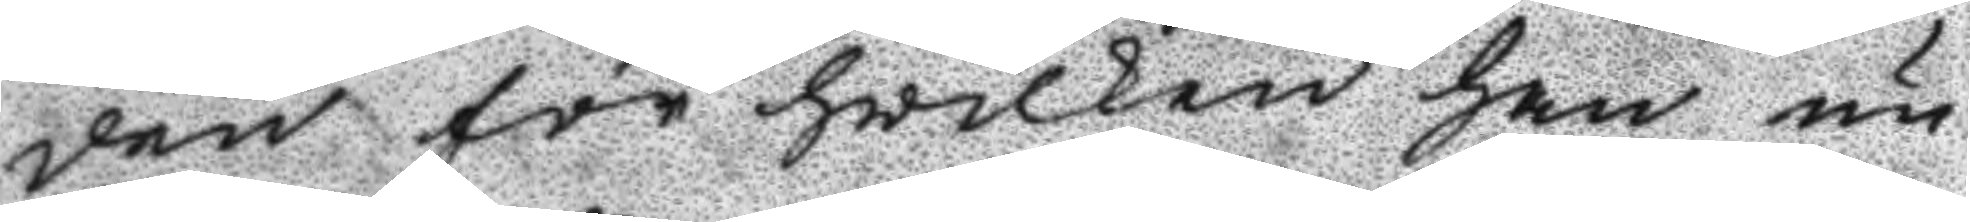den för hwilken han nu
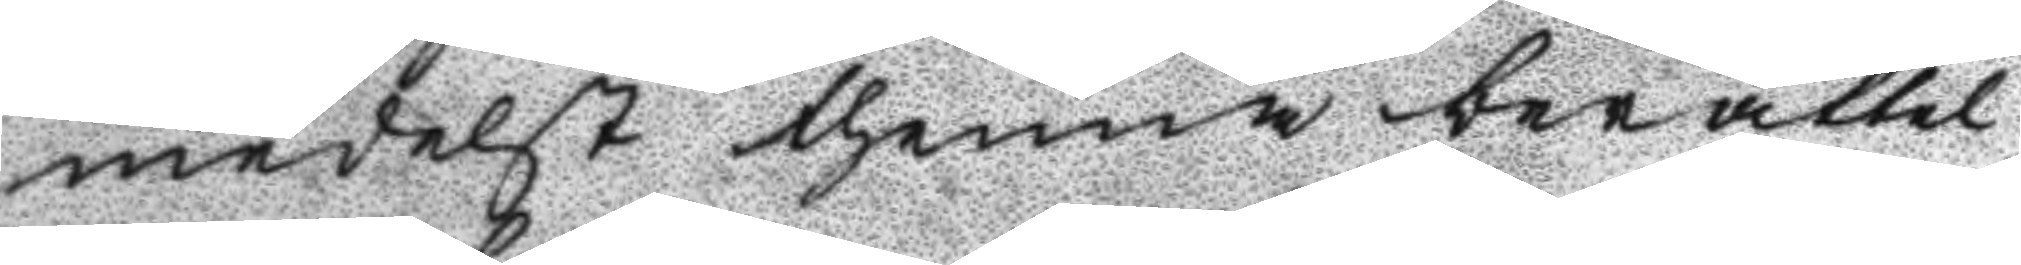medelst thenna berättel¬
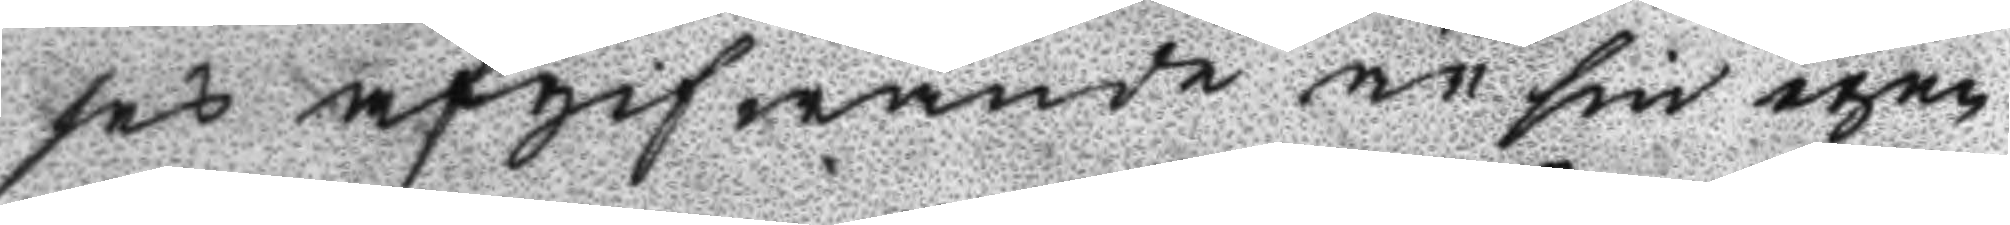ses afgifwande än sin egen
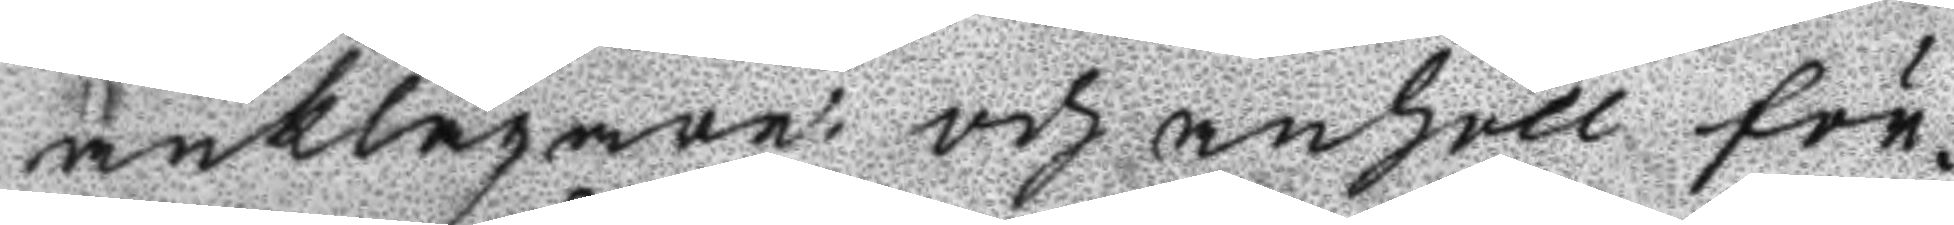anklagan, och anhöll för
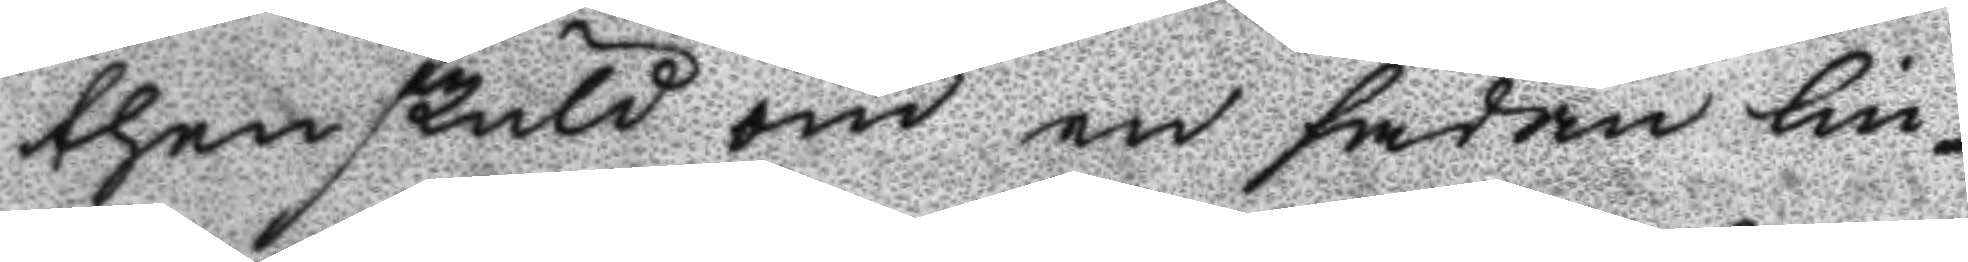then skuld om en sådan lin¬
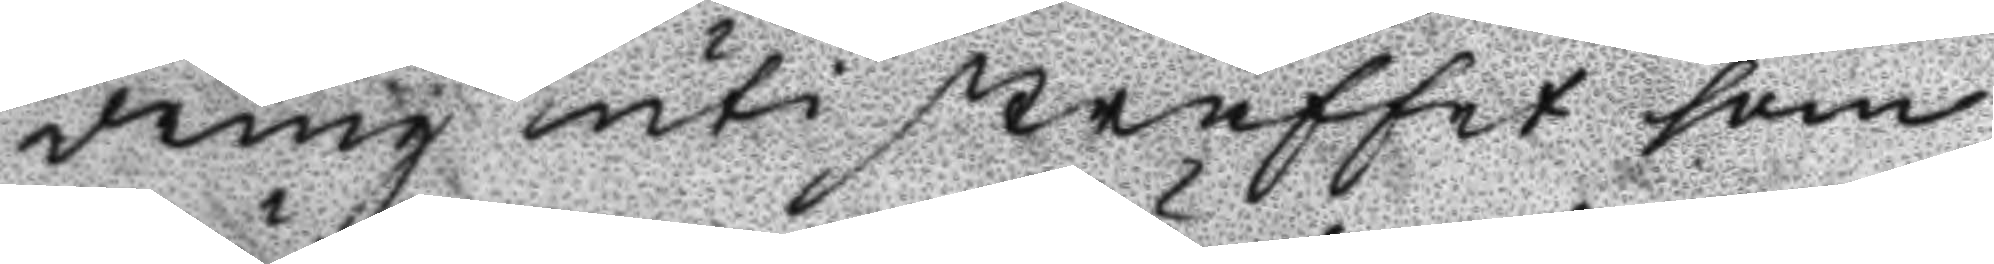dring uti straffet som
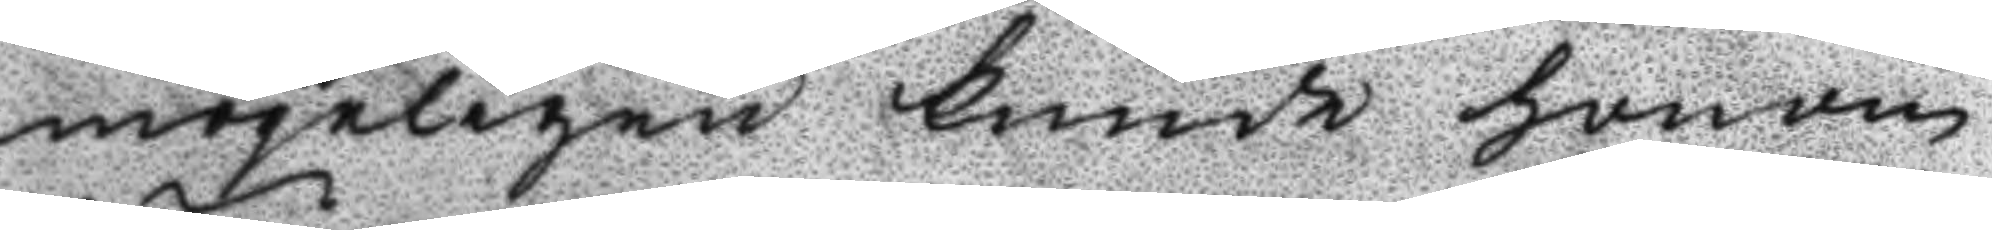mögeligen kunde honom
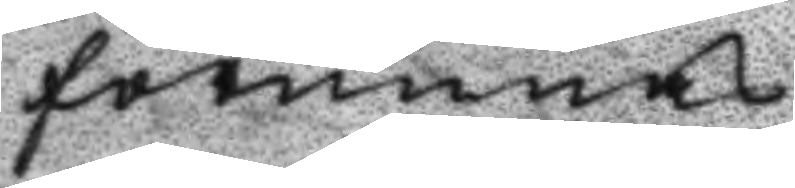förunnas.
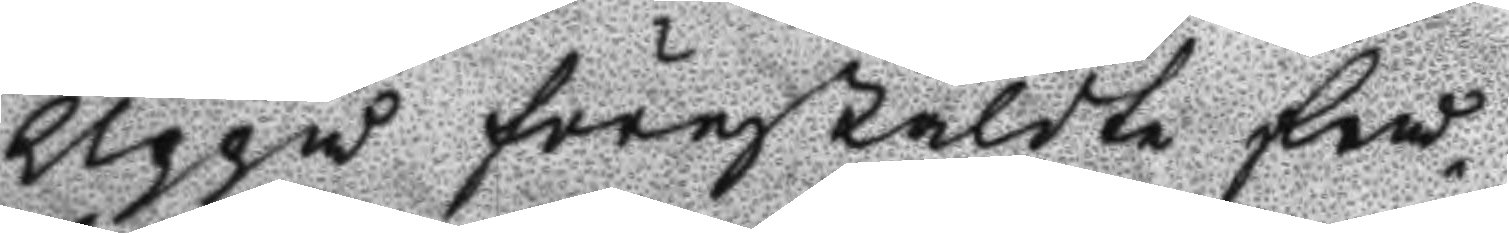Uppå förestäldte frå¬
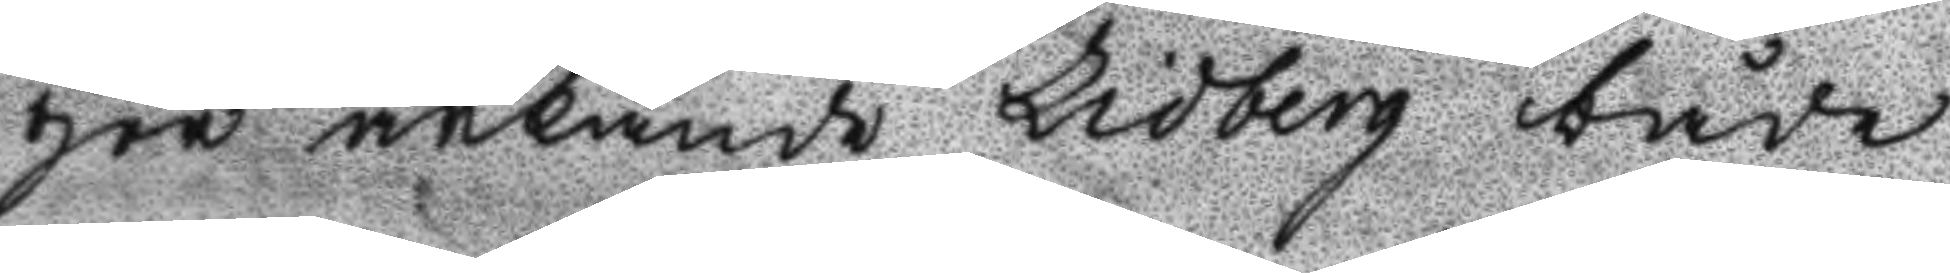gor ärkände Lidberg både 
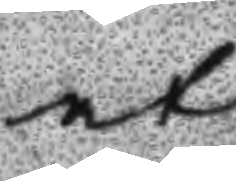at
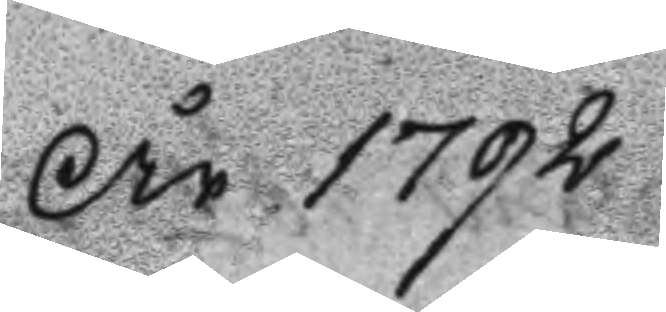År 1792
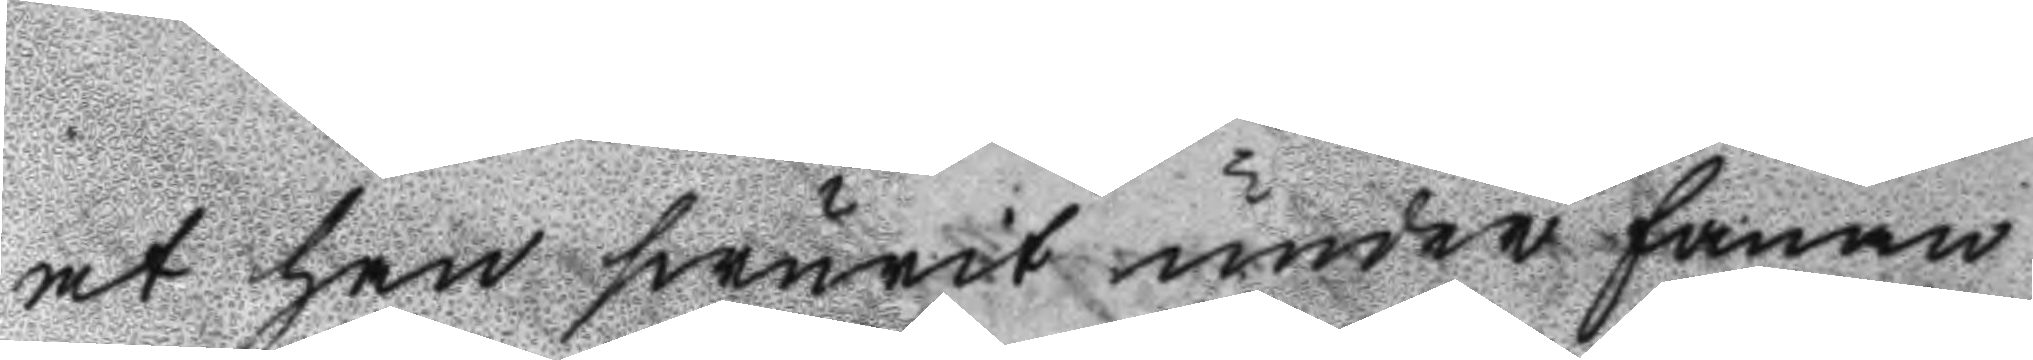at han swurit under fanan
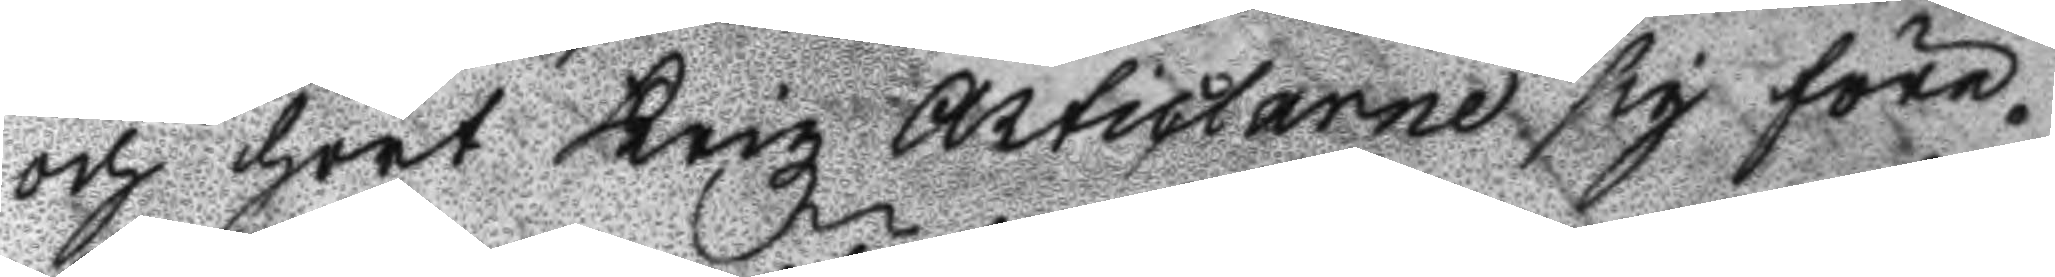och hört Krigz Articlarne sig före¬
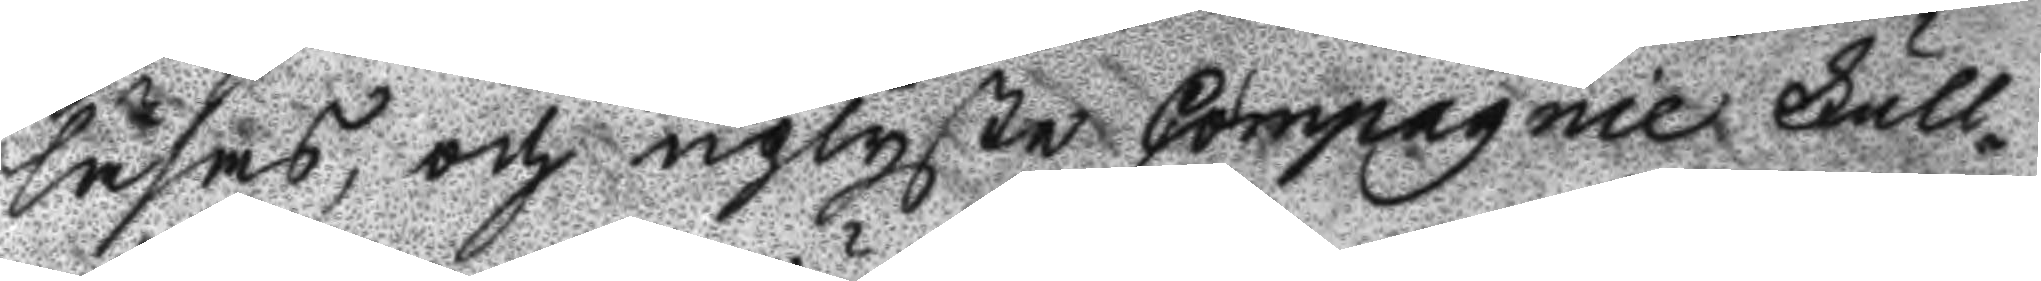läsas, och uplyste Compagnie Full¬
